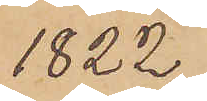1822;
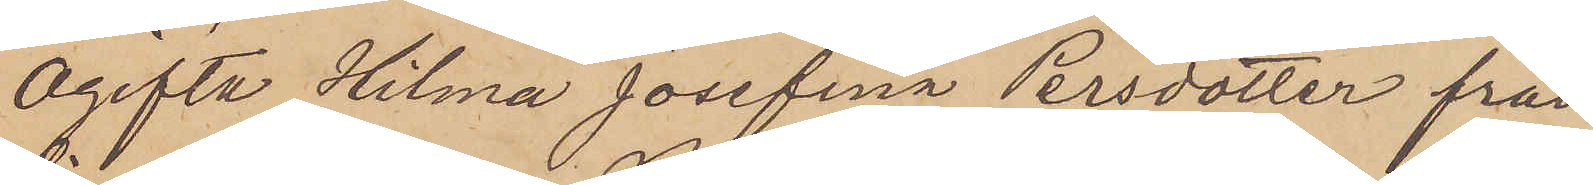Ogifta Hilma Josefina Persdotter från
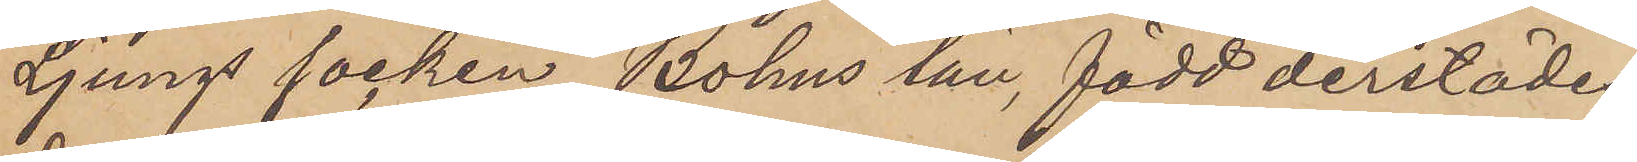Ljungs socken Bohus län, född derstädes
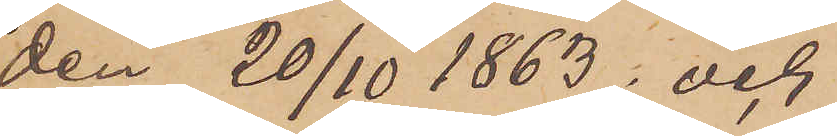den 20/10 1863; och
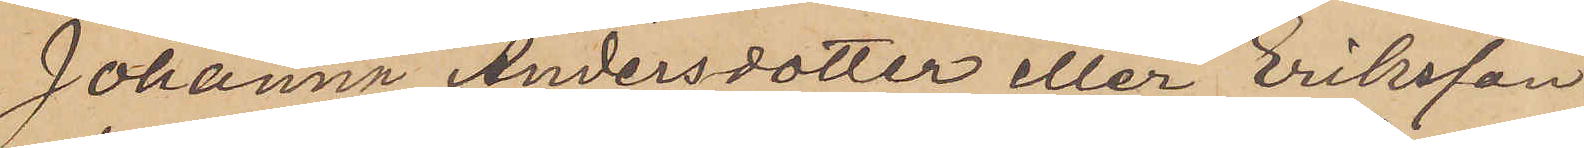Johanna Andersdotter eller Eriksson
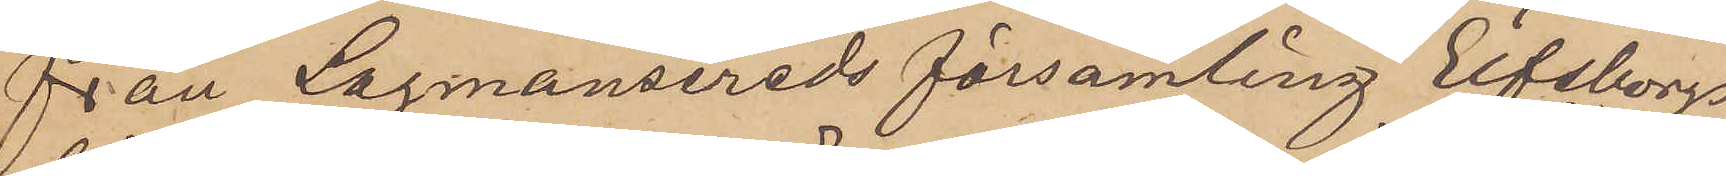från Larmansereds församling Elfsborg
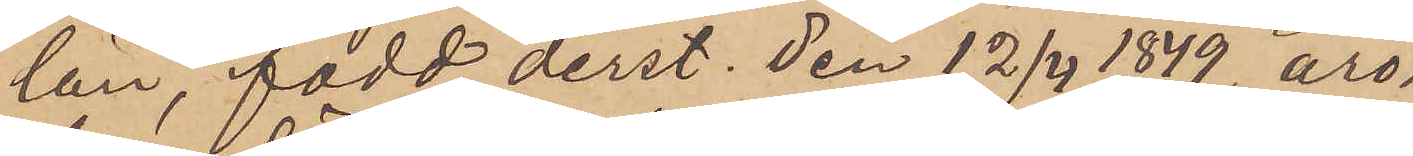län, född derst. den 12/4 1849, äro
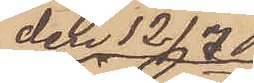den 12/7
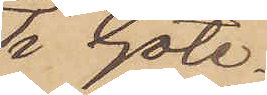i Göte
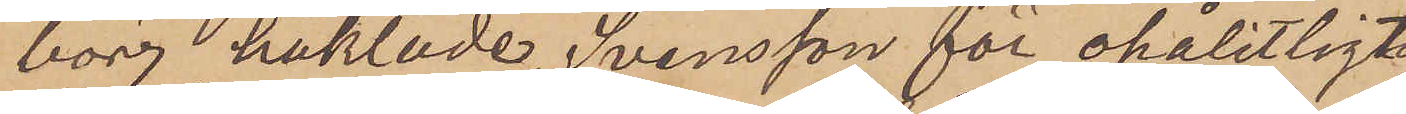borg häktade, Svensson för opålitligt
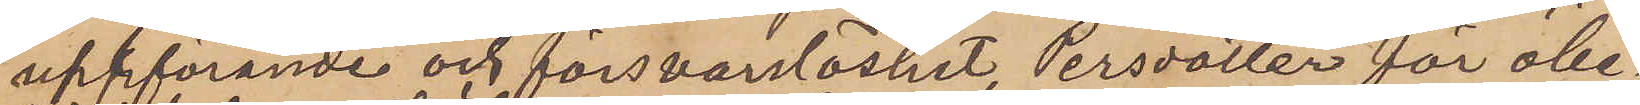uppförande och försvarslöshet, Persdotter för obe¬
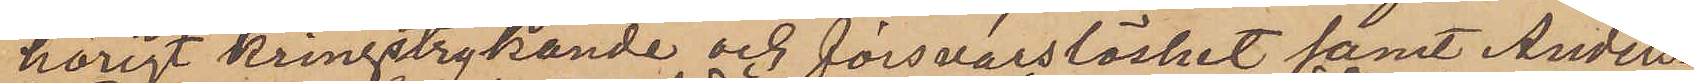hörigt kringstrykande och försvarslöshet samt Anders¬
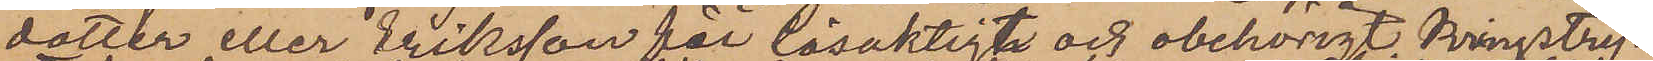dotter eller Eriksson för lösaktigt och obehörigt kringstry¬
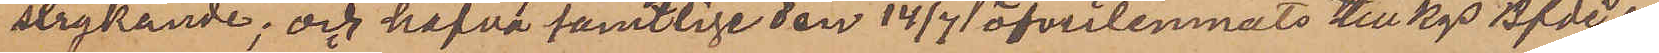strykande; och hafva samtlige den 14/7 öfverlemnats till Kgs Bfde i
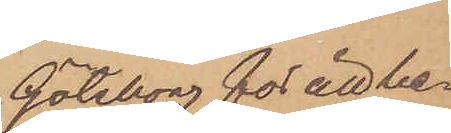Göteborg för att be¬
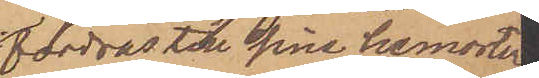fordras till sina hemorter
